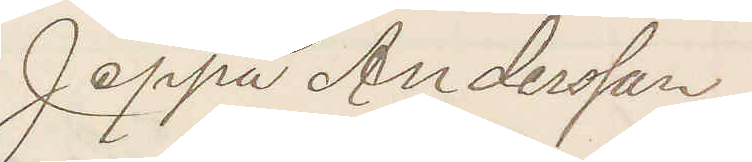Jeppa Andersson
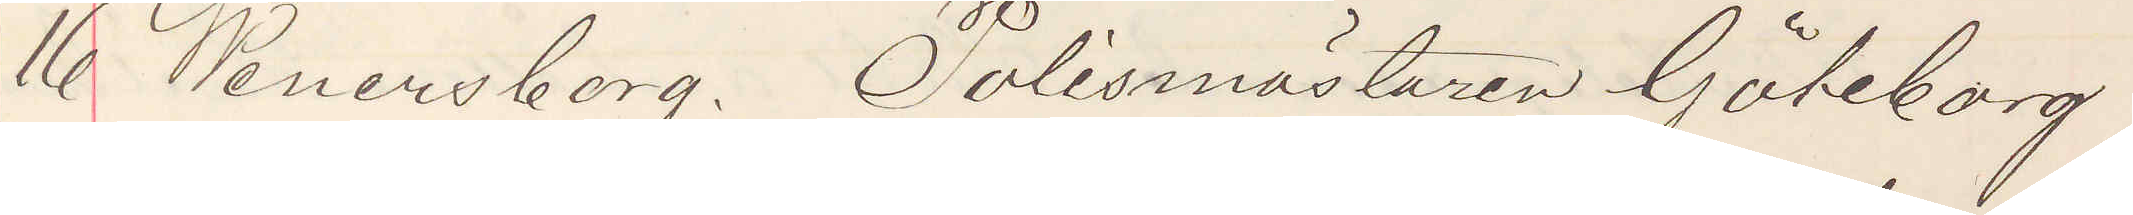16 Wenersborg. Polismästaren Göteborg
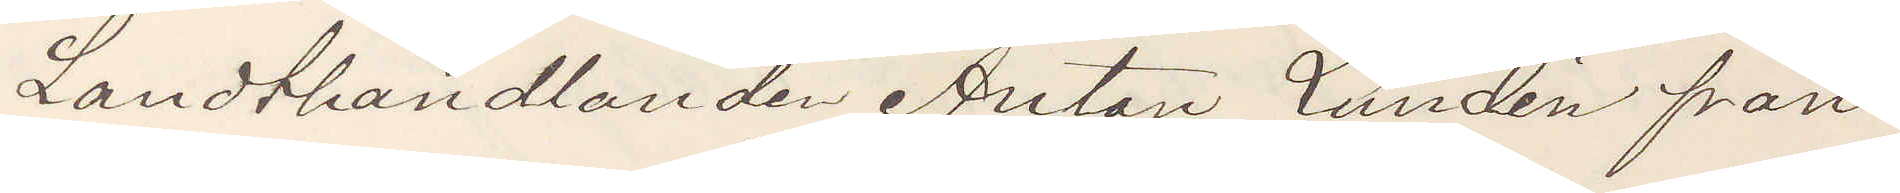Landthandlanden Anton Lundén från
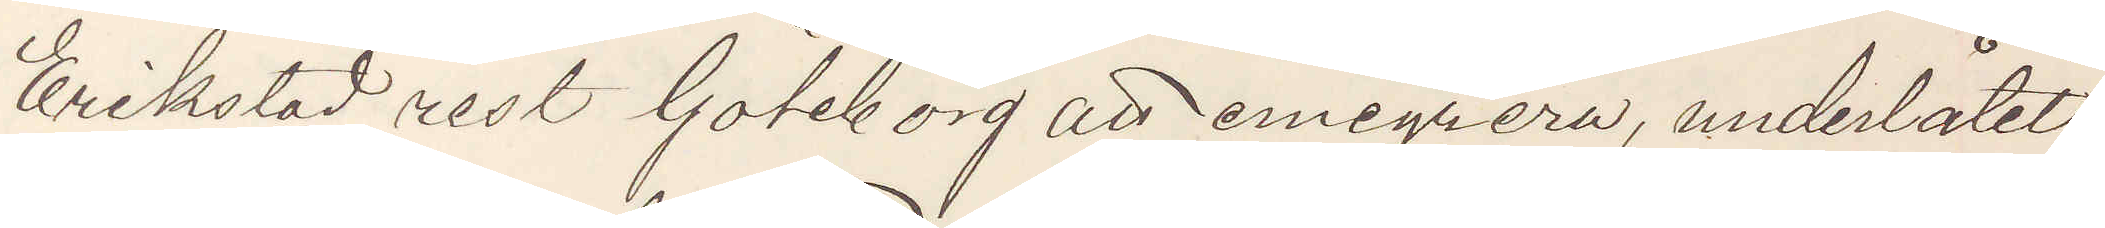Erikstad rest Göteborg att emigrera, underlåtet
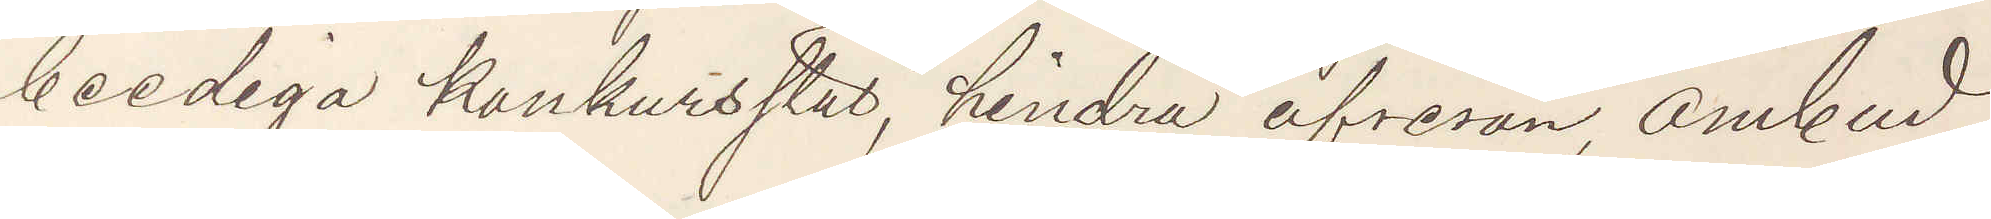beediga konkursstat, hindra afresan, ombud
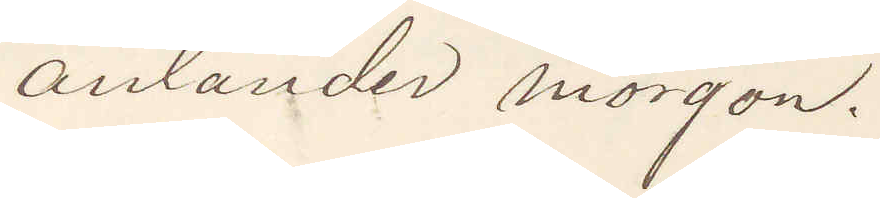anländer morgon.
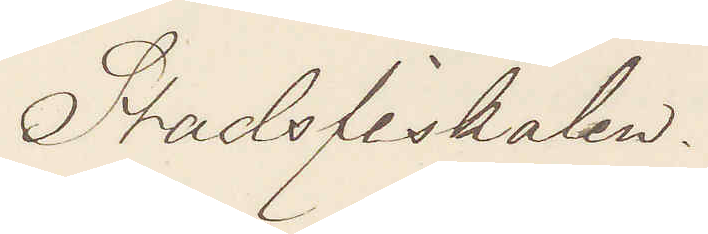Stadsfiskalen.
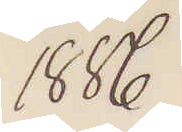1886
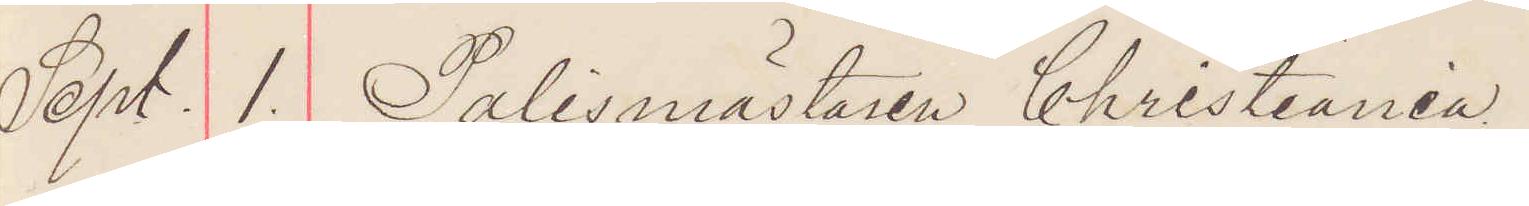Sept. 1. Polismästaren Christiania.
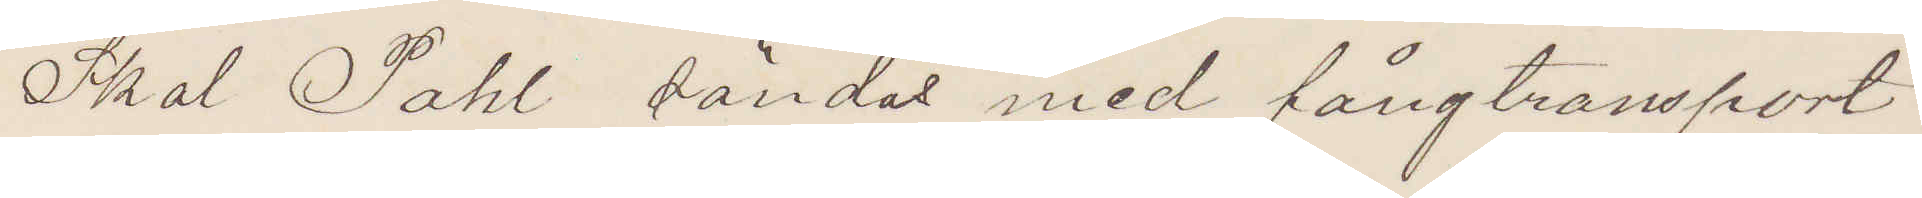Skal Pahl sändas med fångtransport
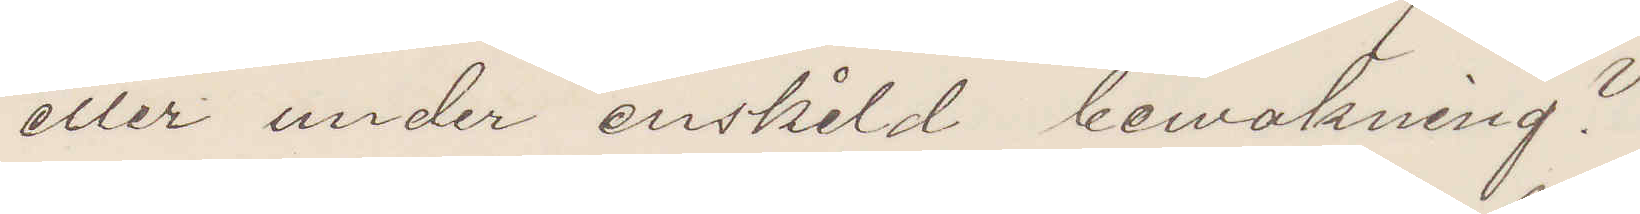eller under enskild bewakning?
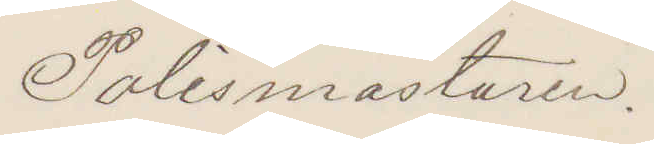Polismästaren.
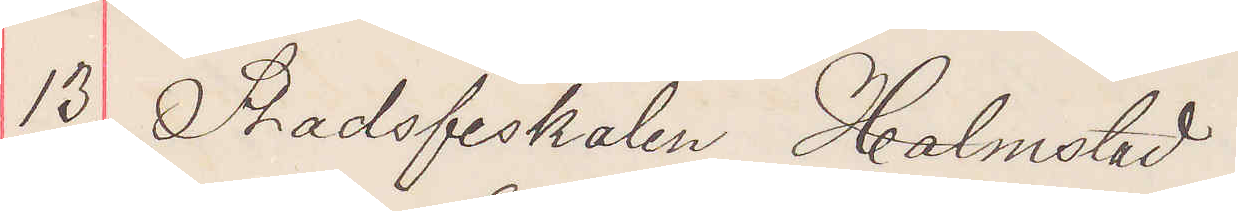13. Stadsfiskalen Halmstad
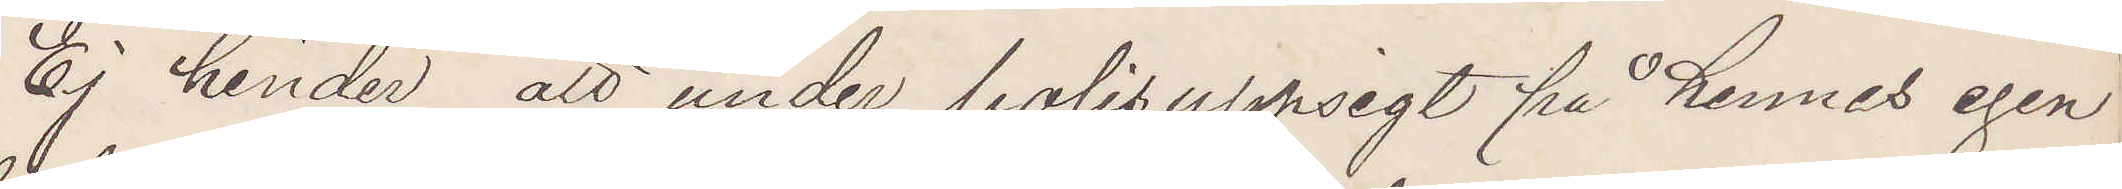Ej hinder att under polisuppsigt på hennes egen
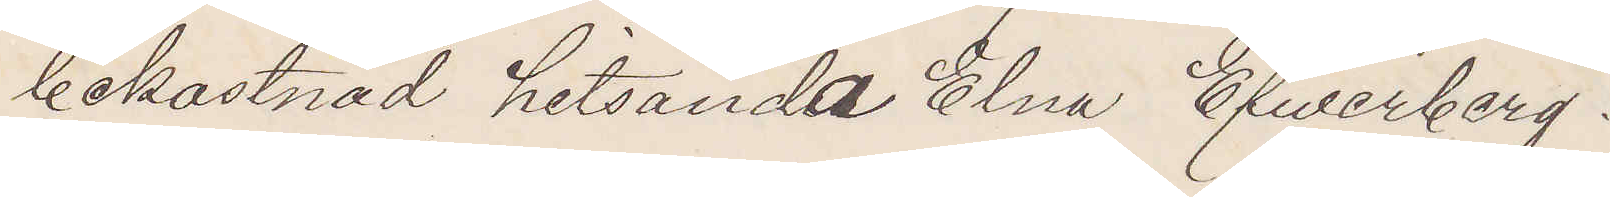bekostnad hitsända Elna Efwerberg.
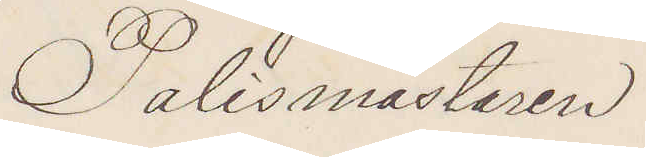Polismästaren
